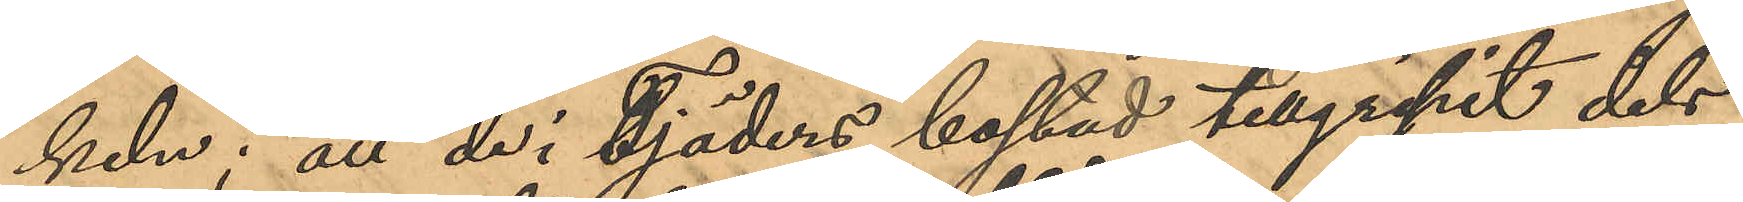keln; att de i Tjäders bostad tillgripit dels
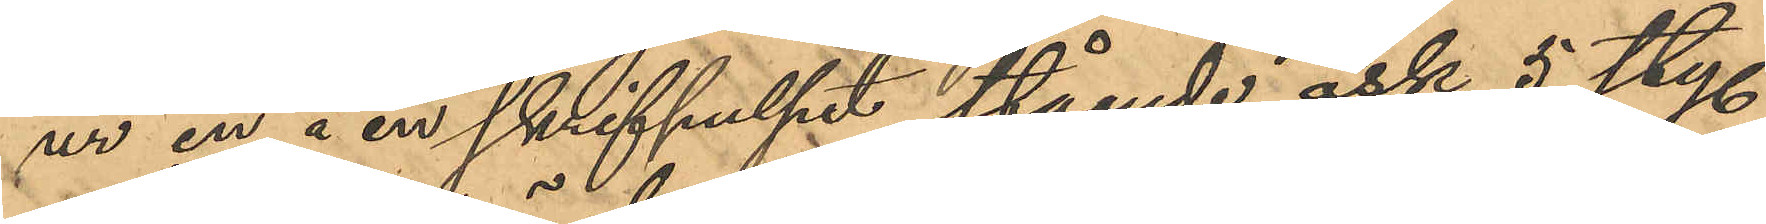ur en å en skrifpulpet stående ask 5 sty.
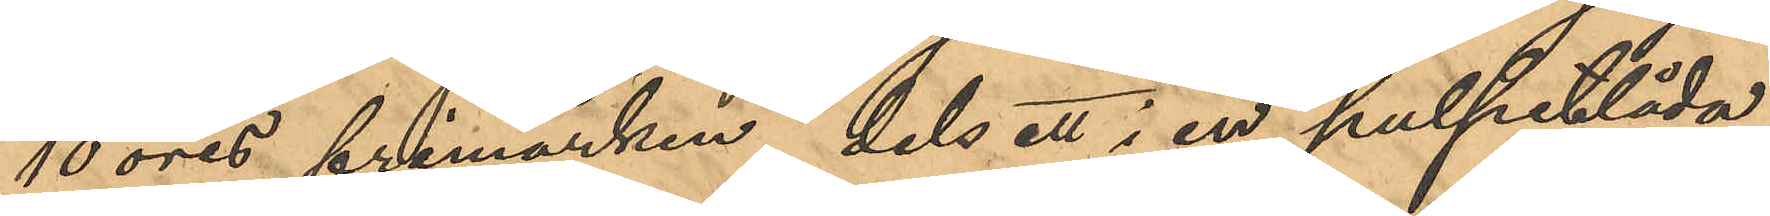10 öres frimärken, dels ett i en pulpetlåda
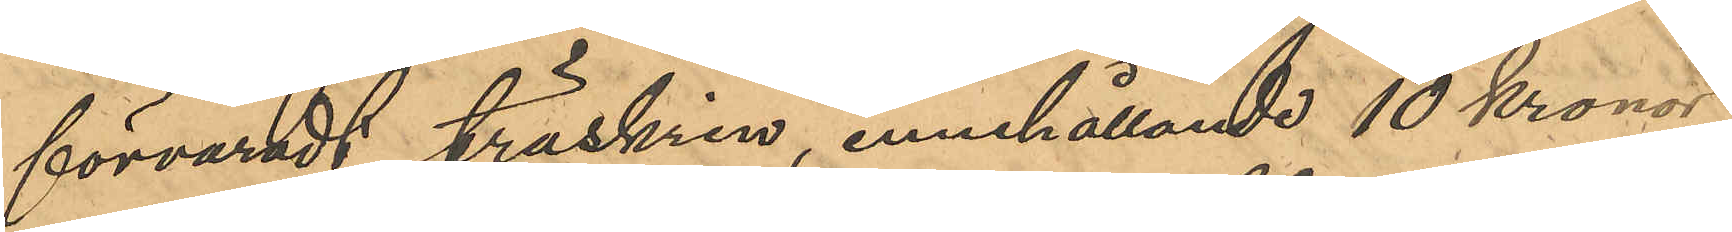förvaradt träskrin, innehållande 10 Kronor
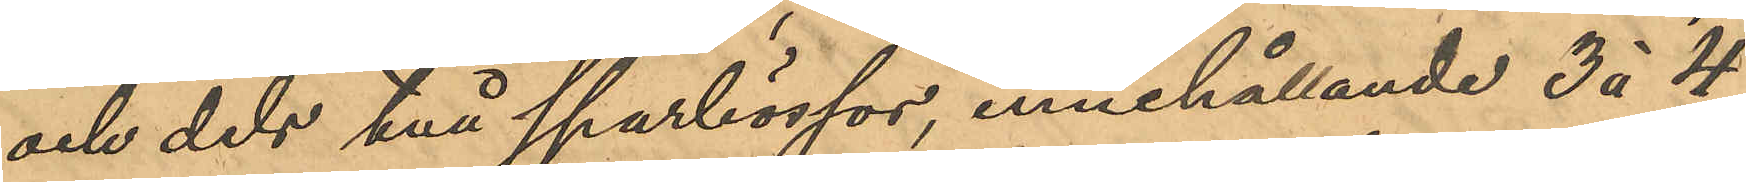och dels två sparbössor, innehållande 3 á 4
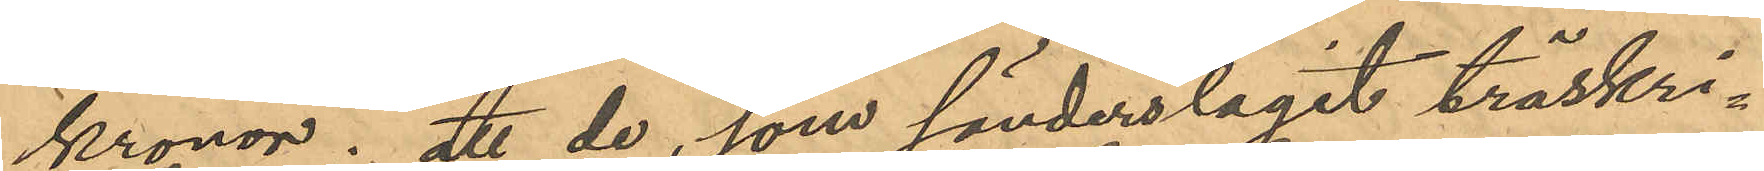kronor; att de, som sönderslagit träskri¬
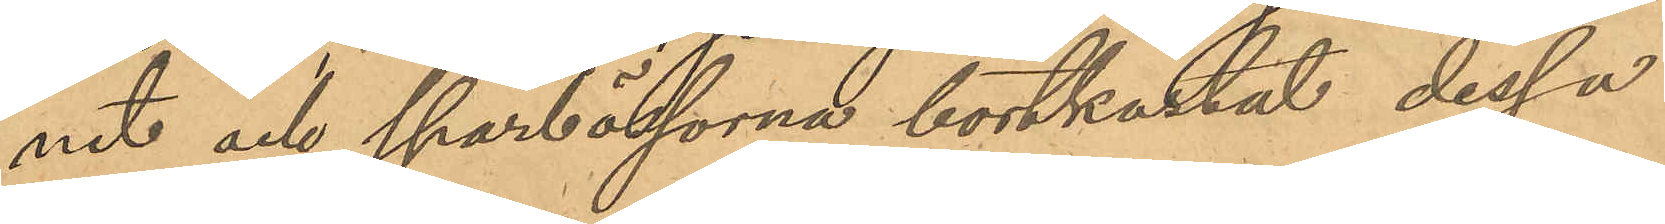net och sparbössorna bortkastat dessa
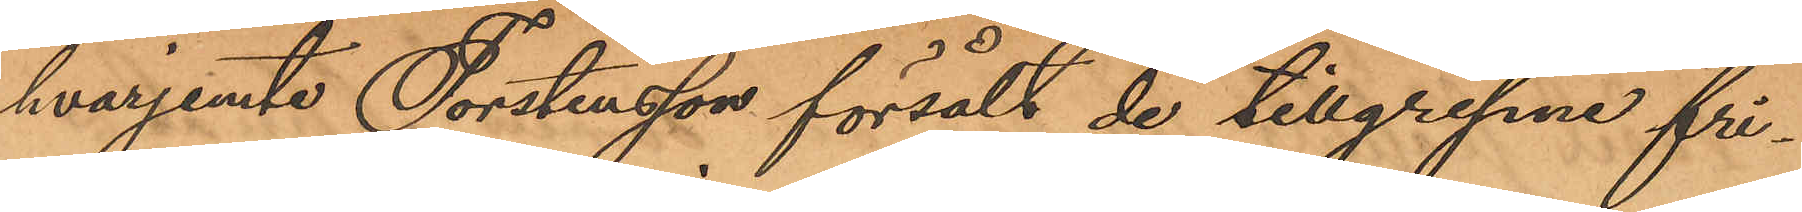hvarjemte Torstensson försålt de tillgripne fri¬
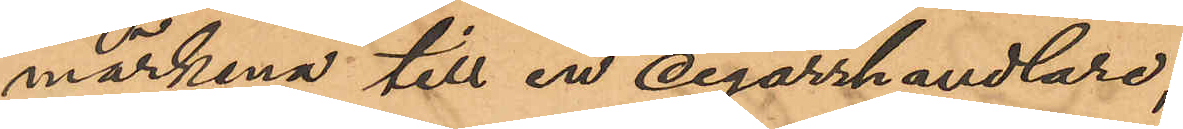märkena till en cigarrhandlare;
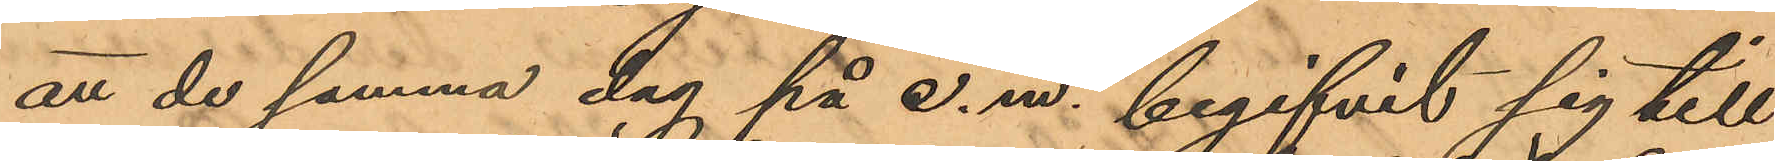att de samma dag på e. m. begifvit sig till
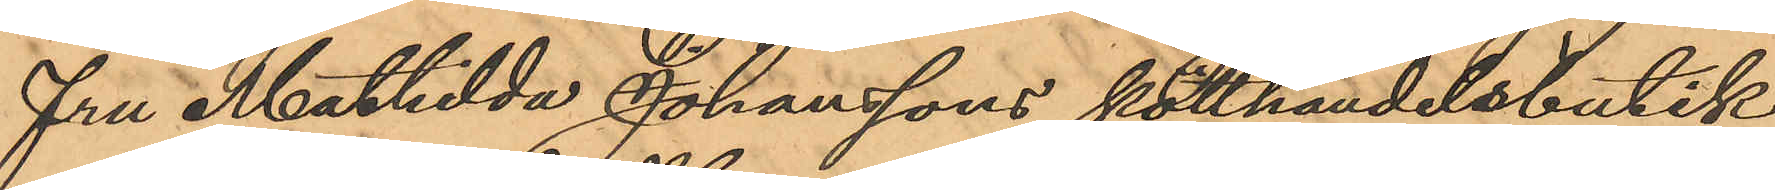fru Mathilda Johanssons kötthandelsbutik
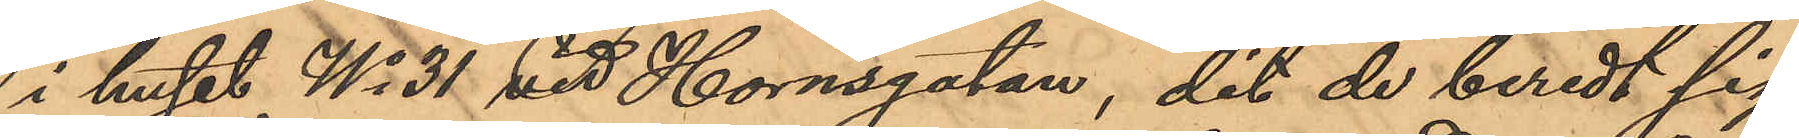i huset No 31 vid Hornsgatan, dit de beredt sig
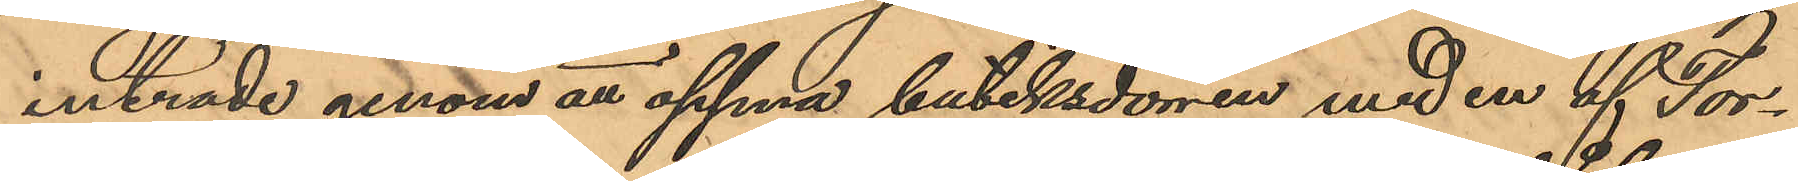inträde genom att öppna butiksdörren med en af Tor¬
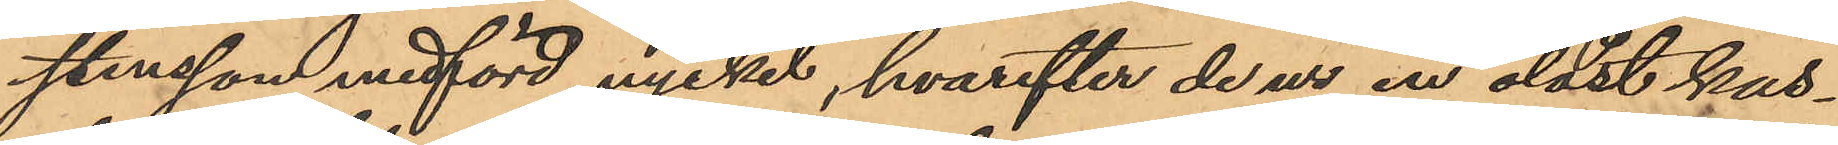stensson medförd nyckel, hvarefter de ur en olåst kas¬
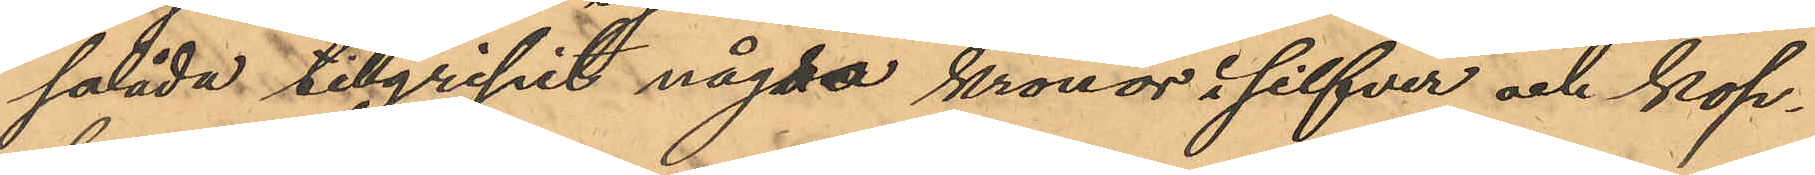salåda tillgripit några kronor i silfver och kop¬
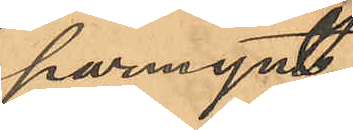parmynt;
